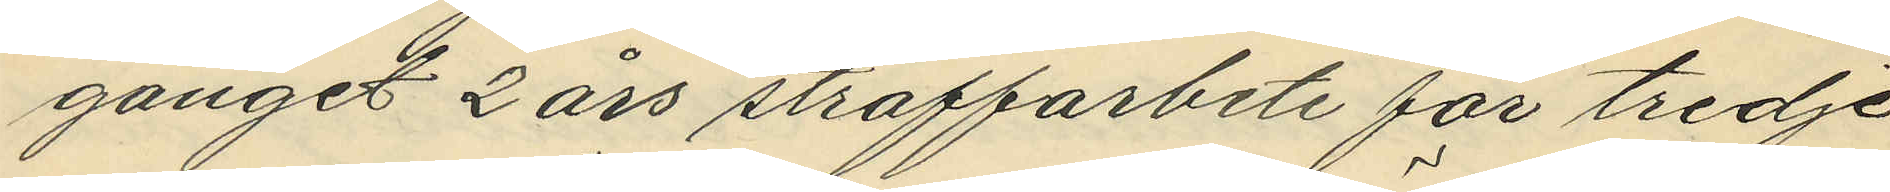gånget 2 års straffarbete för tredje
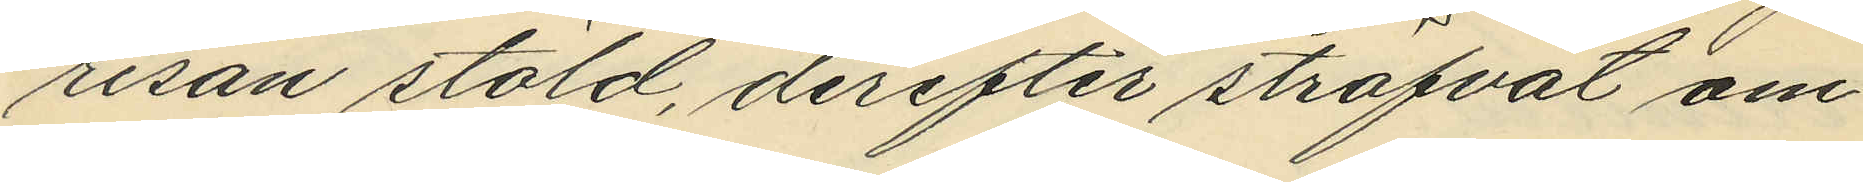resan stöld, derefter ströfvat om¬
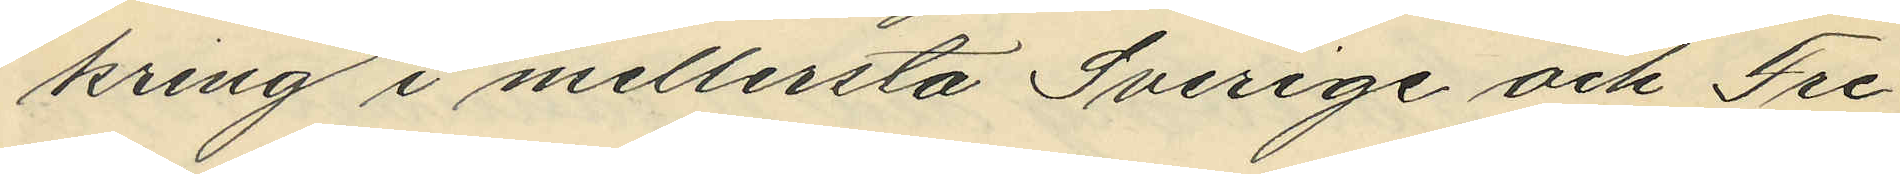kring i mellersta Sverige och Fre¬
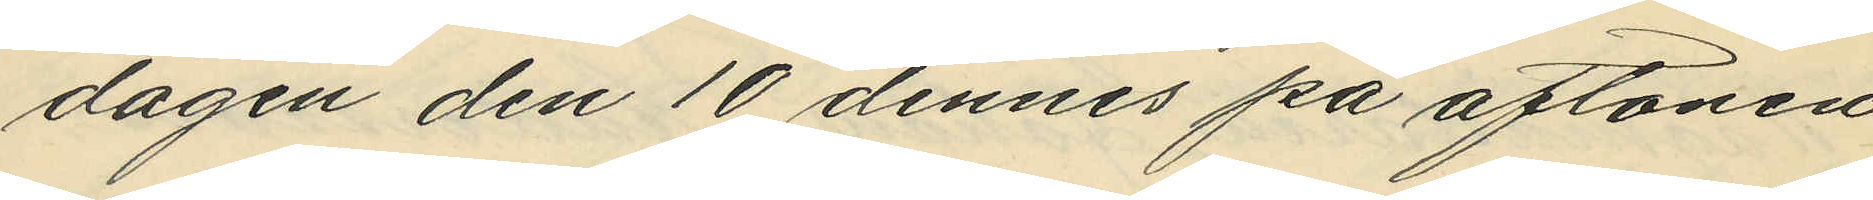dagen den 10 dennes på aftonen
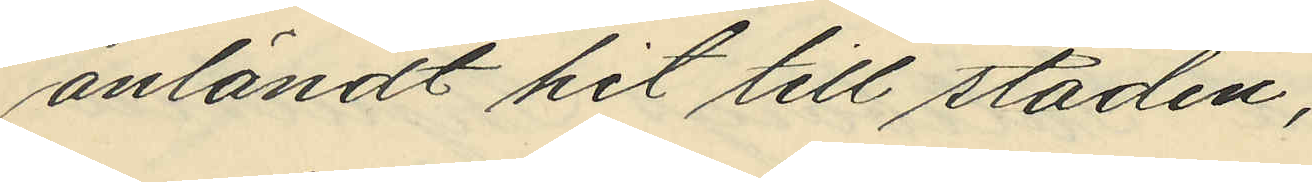anländt hit till staden;
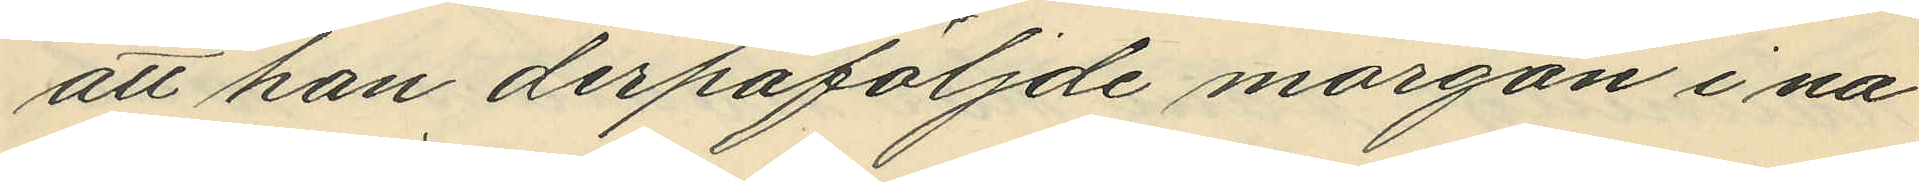att han derpåföljde morgon i nå¬
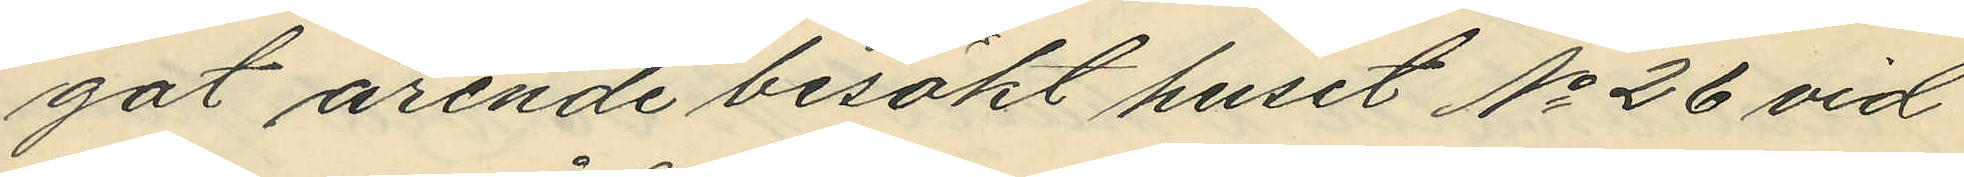got ärende besökt huset No 26 vid
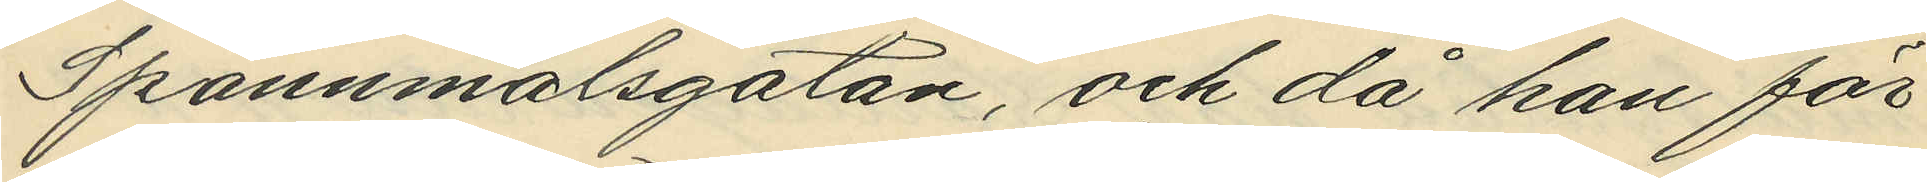Spannmålsgatan, och då han för¬
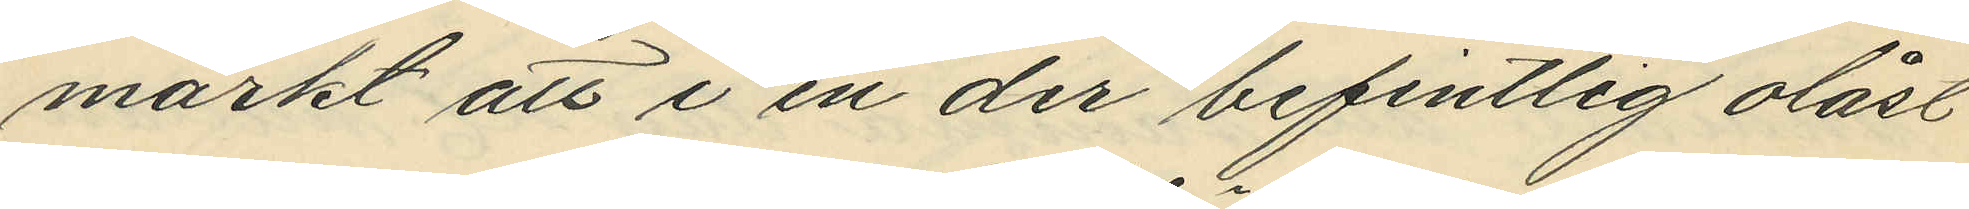märkt att i en der befintlig olåst
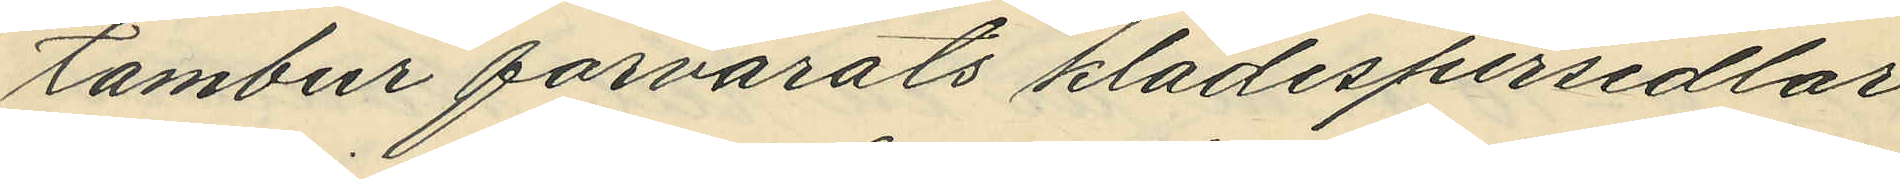tambur förvarats klädespersedlar,
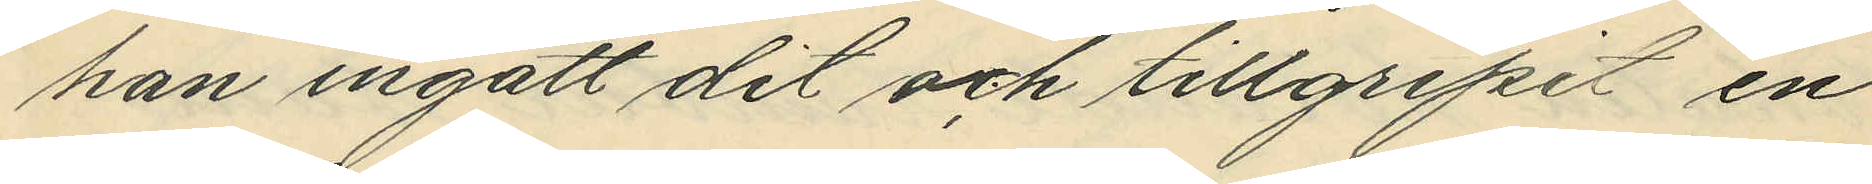han ingått dit och tillgripit en
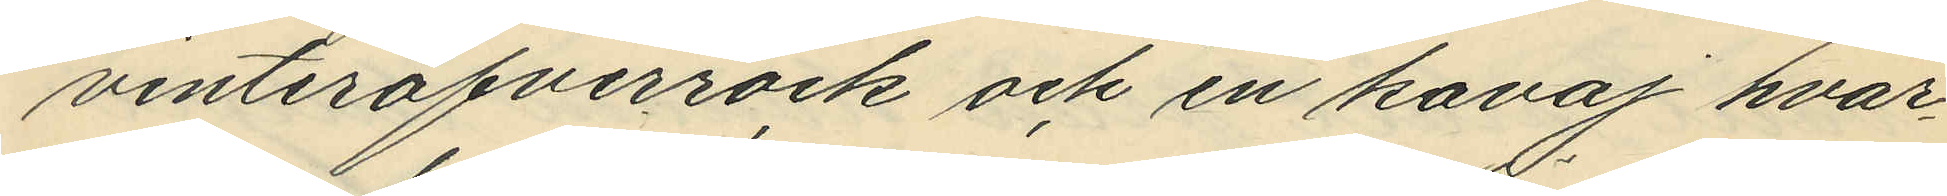vinteröfverrock och en kavaj hvar¬
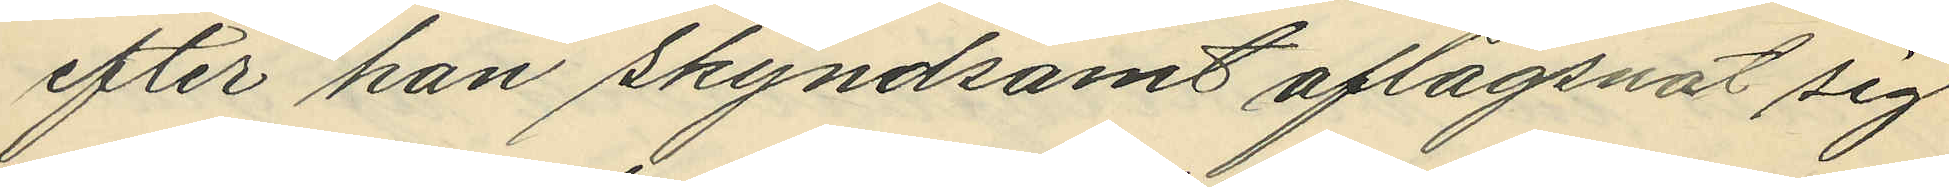efter han skyndsamt aflägsnat sig
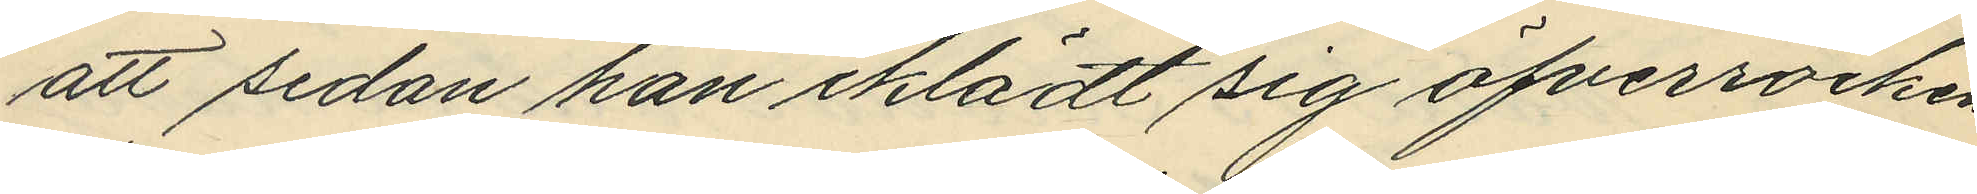att sedan han iklädt sig öfverrocken
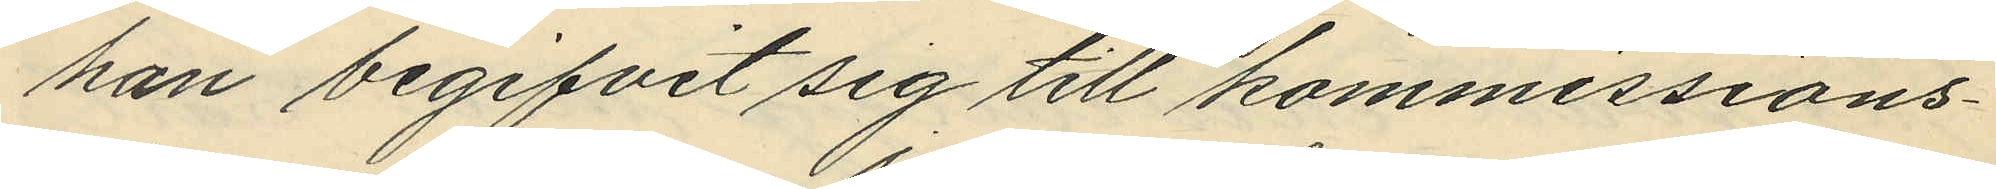han begifvit sig till kommissions¬
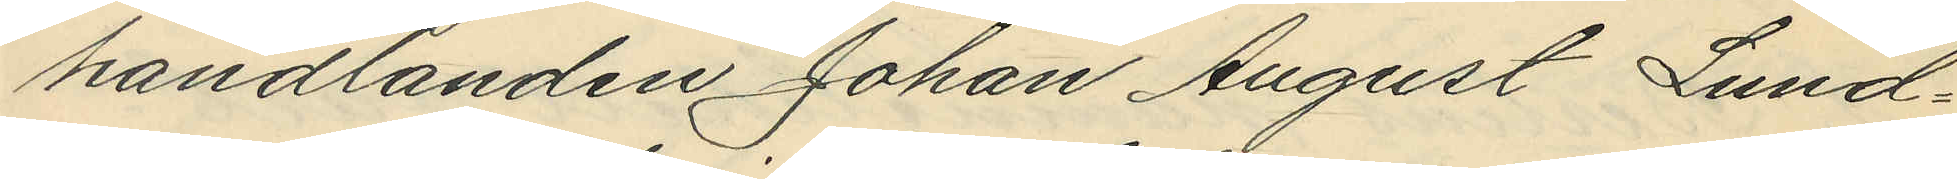handlanden Johan August Lund¬
